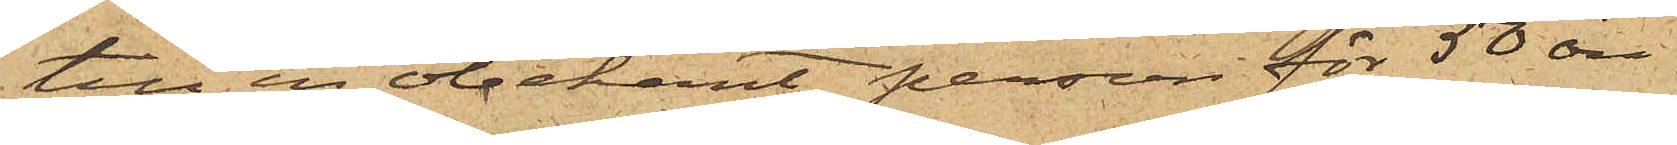till en obekant person för 50 öre.
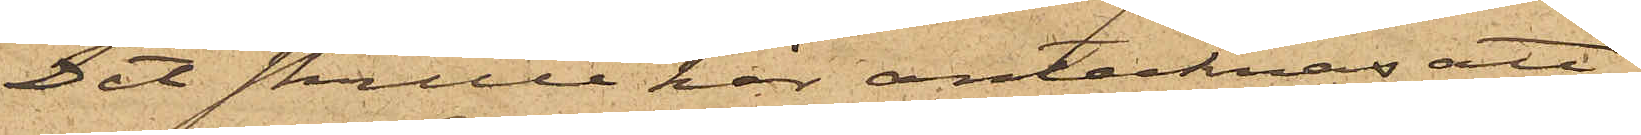Det skulle här antecknas att
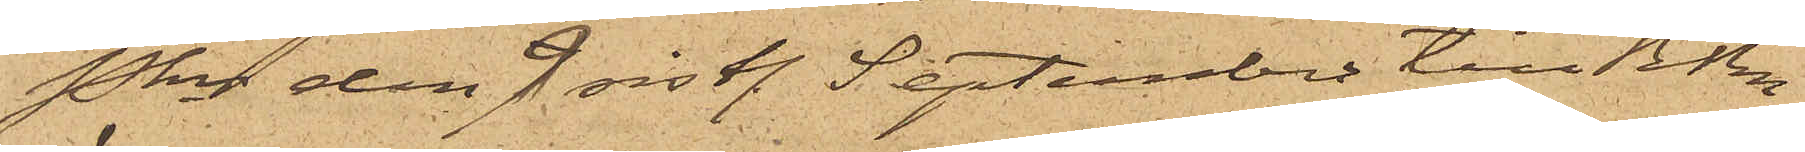Pkn den 9 sistl. September till RRn
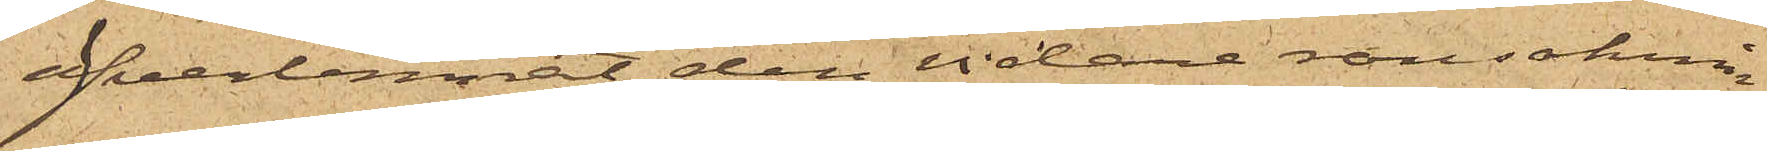överlemnat den vidare ransaknin¬
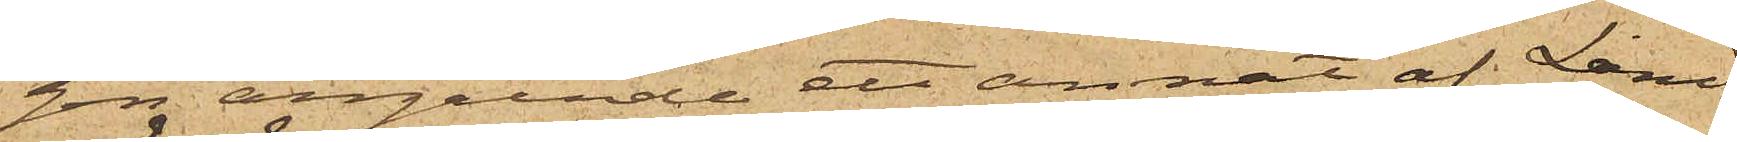gen angående ett annat af Land
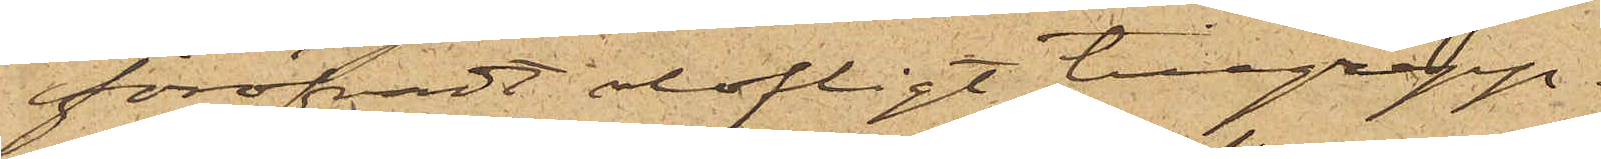föröfvadt olofligt tillgrepp.
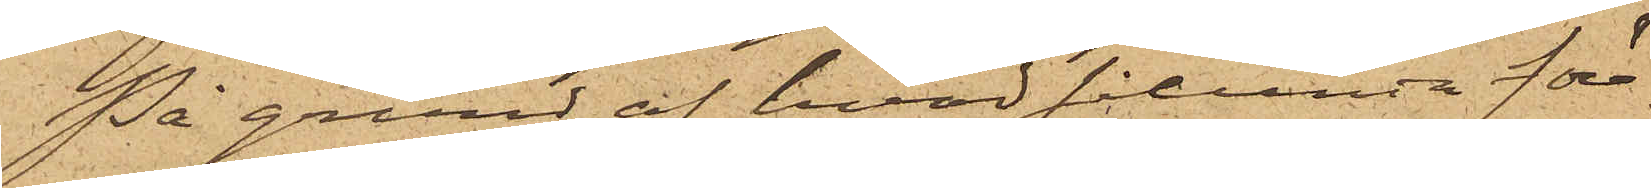På grund af hvad sålunda för¬
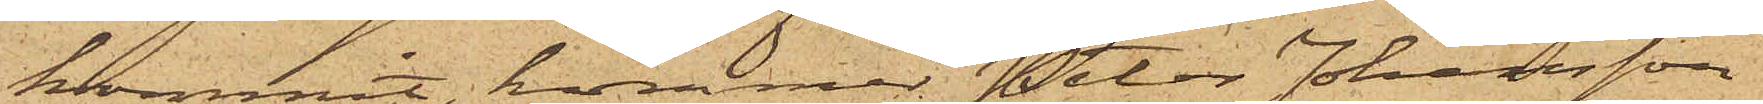kommit, kommer Peter Johansson
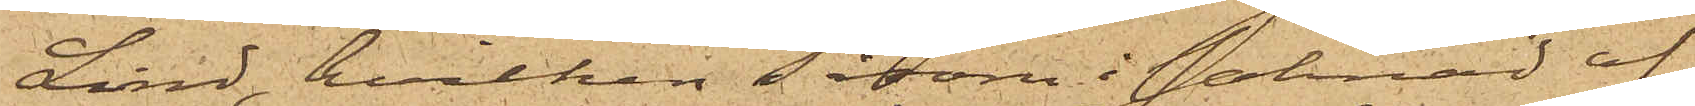Lind, hvilken såsom i saknad af
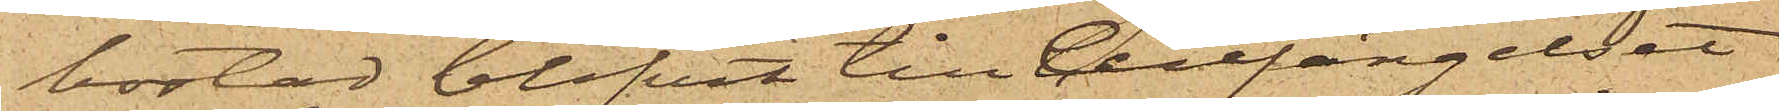bostad blifvit till Cellfängelset
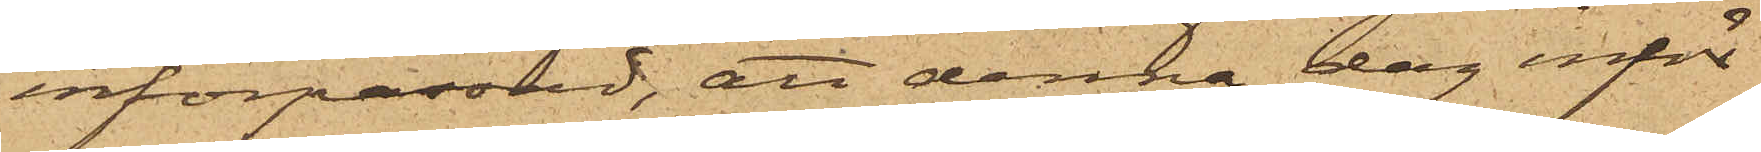införpassad, att denna dag inför
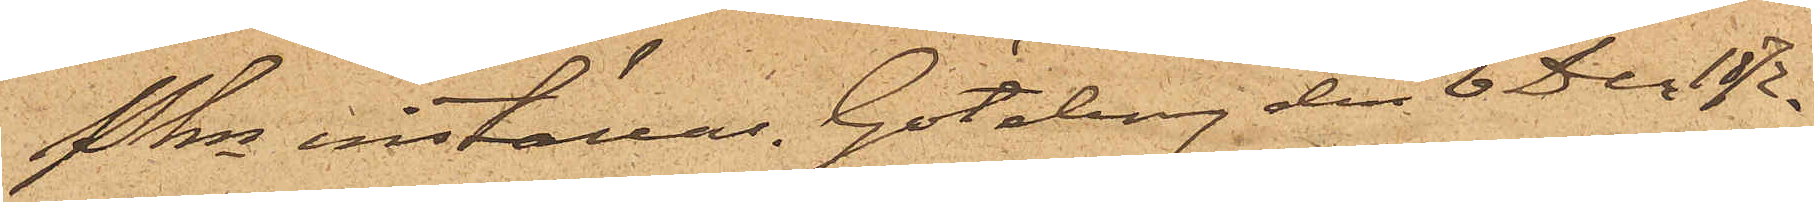Pkn inställas. Göteborg den 6 Dec 1872.
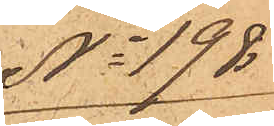No 198
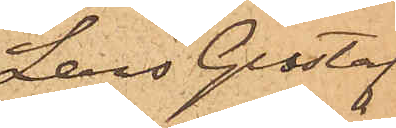Lars Gustaf
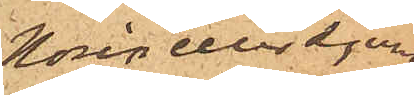Norèn eller Ljung¬
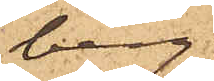berg.
